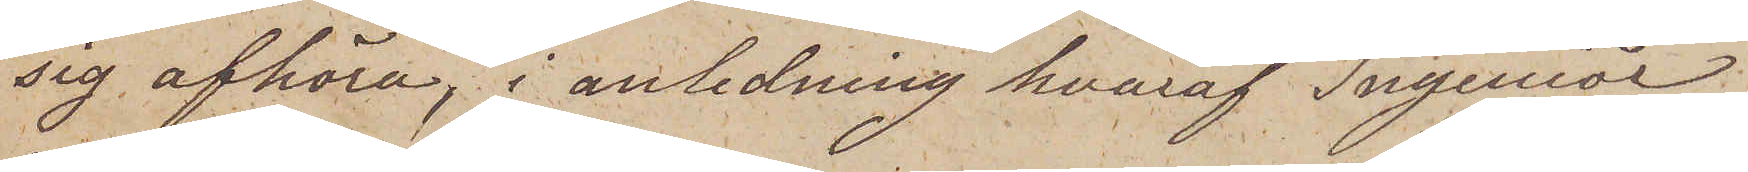sig afhöra, i anledning hvaraf Ingeniör
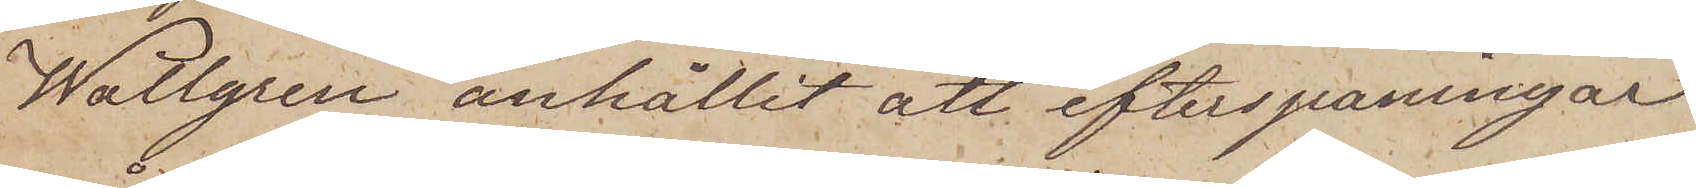Wallgren anhållit att efterspaningar
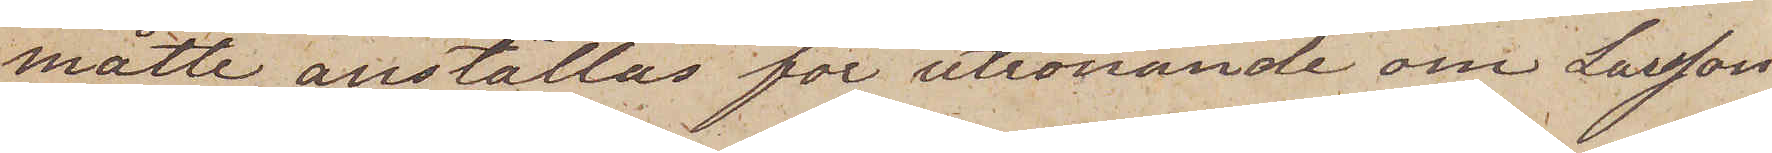måtte anställas för utrönande om Larsson
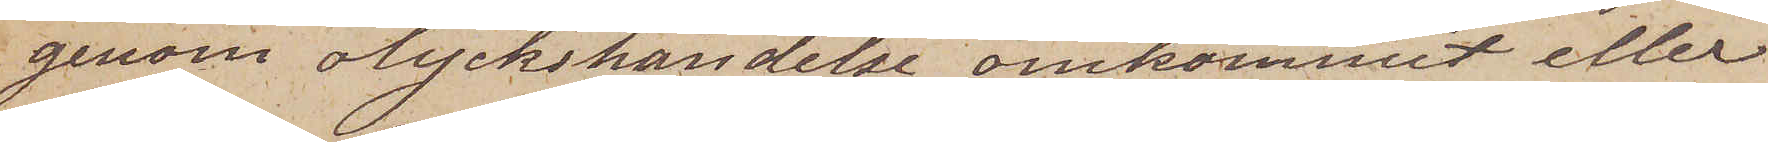genom olyckshändelse omkommit eller
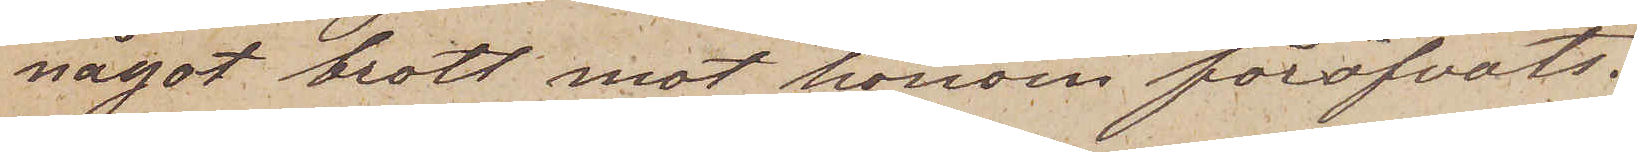något brott mot honom föröfvats.
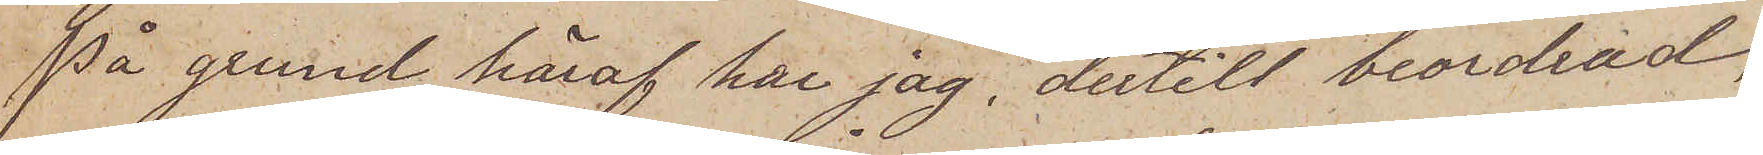På grund häraf har jag, dertill beordrad,
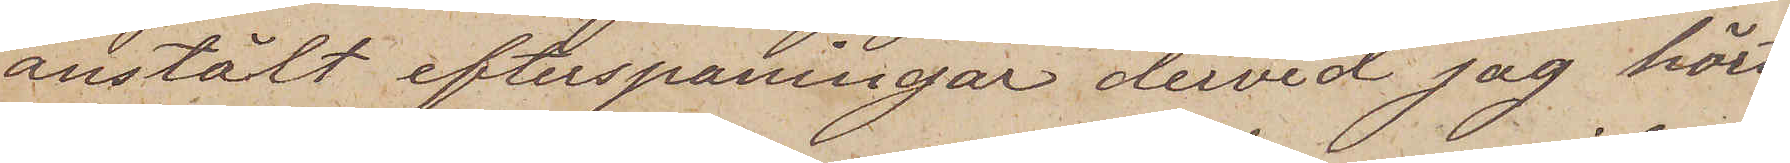anstält efterspaningar dervid jag hört
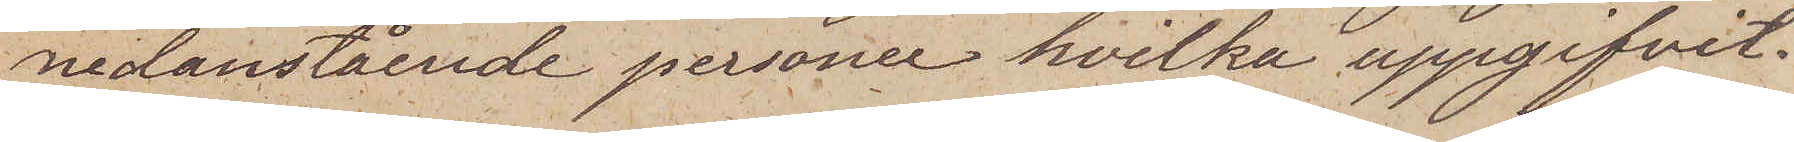nedanstående personer hvilka uppgifvit.
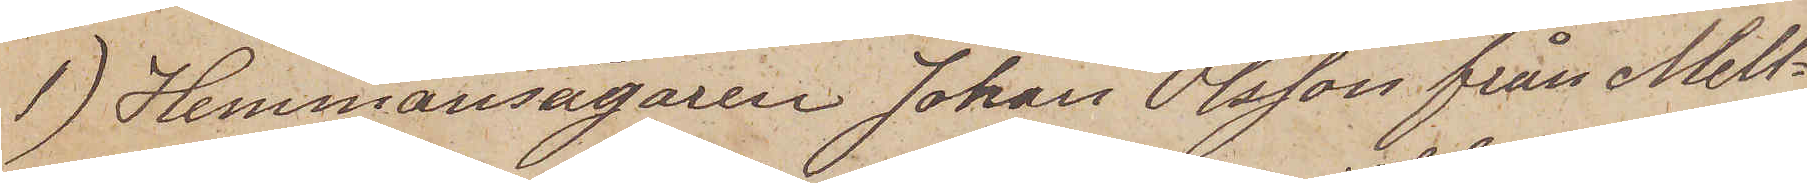 1) Hemmansägaren Johan Olsson från Mell¬
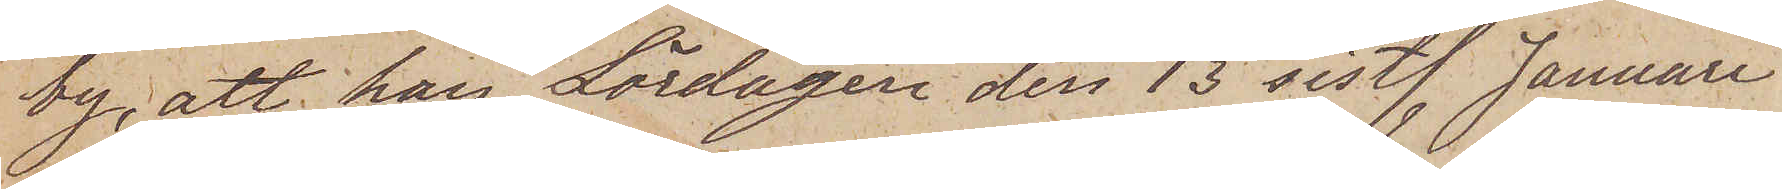by, att han Lördagen den 13 sistl. Januari
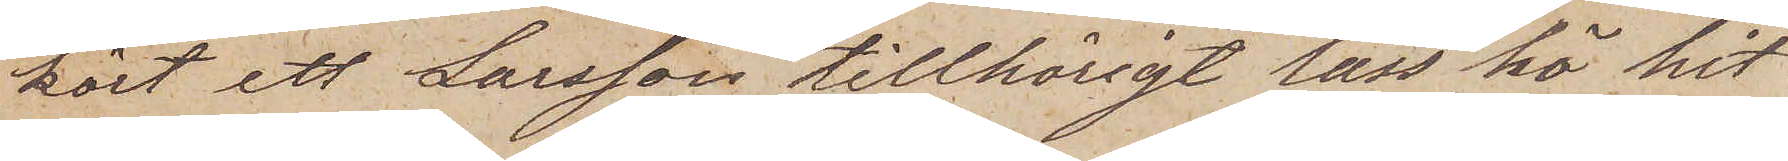kört ett Larsson tillhörigt lass hö hit
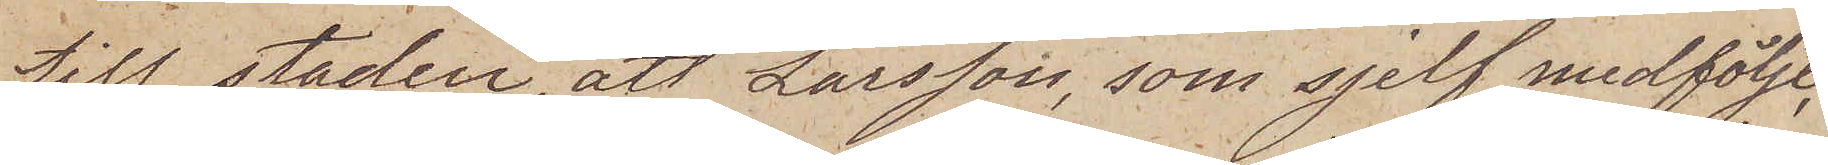till staden, att Larsson, som sjelf medföljt,
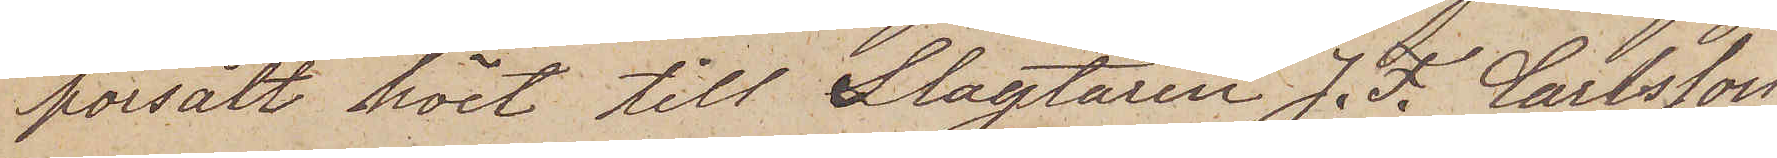försålt höet till Slagtaren J. F. Carlsson
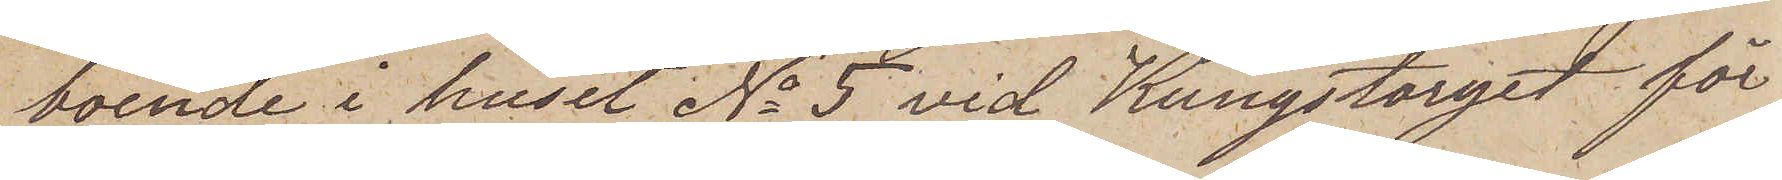boende i huset No 5 vid Kungstorget för
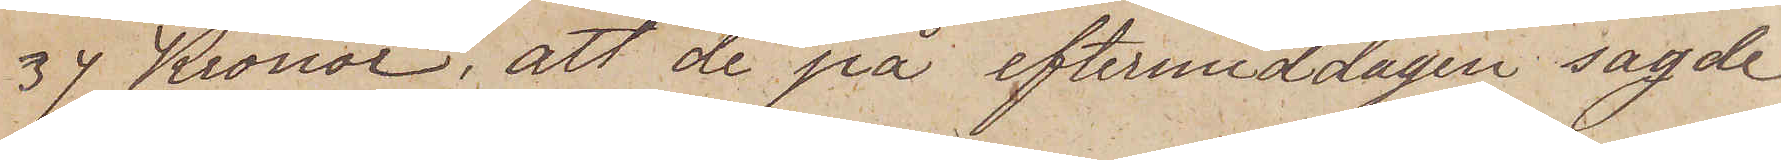37 Kronor, att de på eftermiddagen sagde
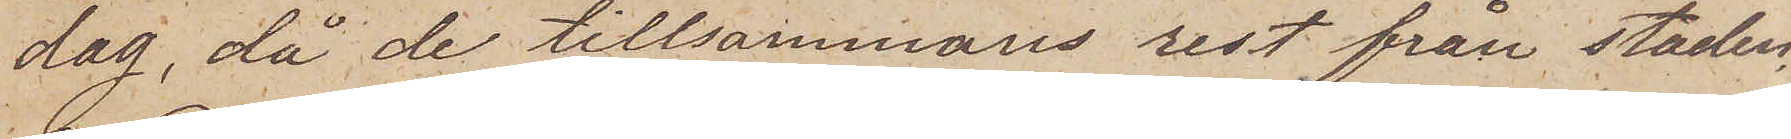dag, då de tillsammans rest från staden
